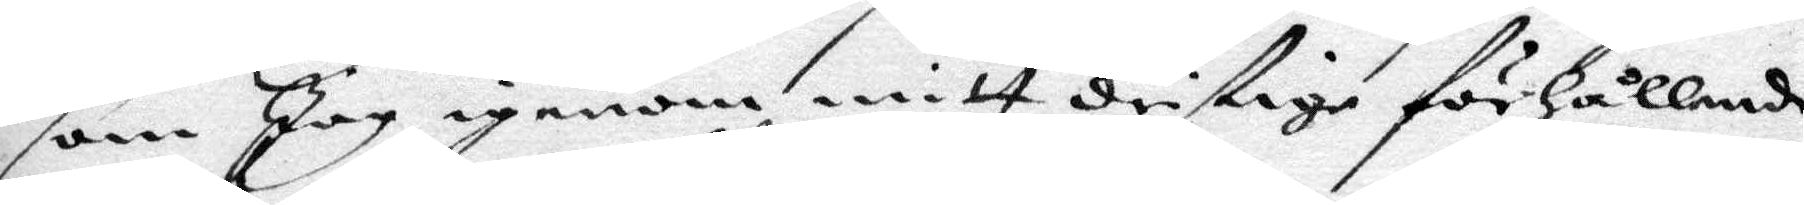som Jag igenom mitt dristige förhållande
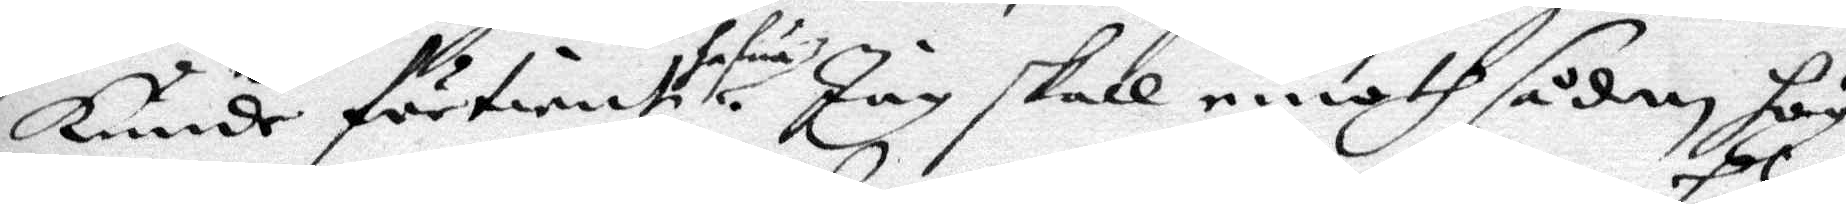Kunde förtiente hafua. Jag skall emoth sådan hög
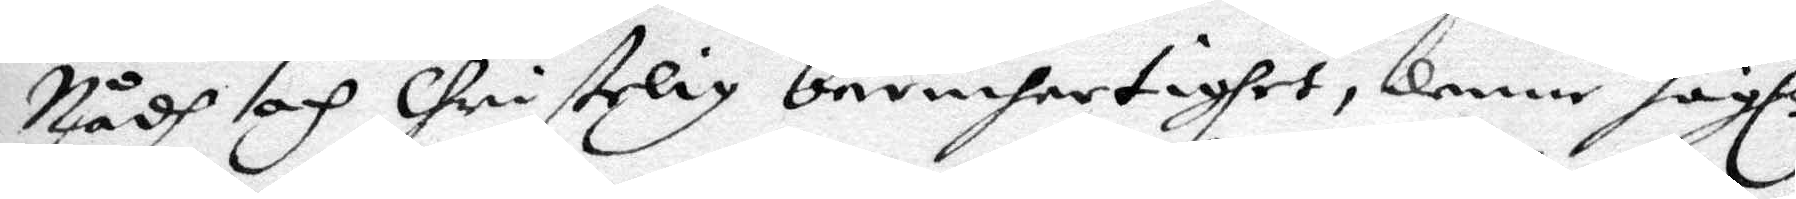Nådh och Christelig bernhertighet, denne Högl.
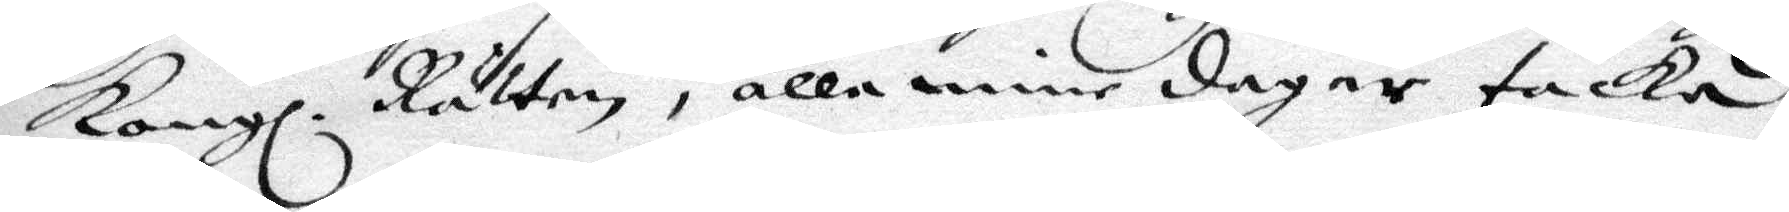Kongl. Rätten i alla mine dagar tacka,
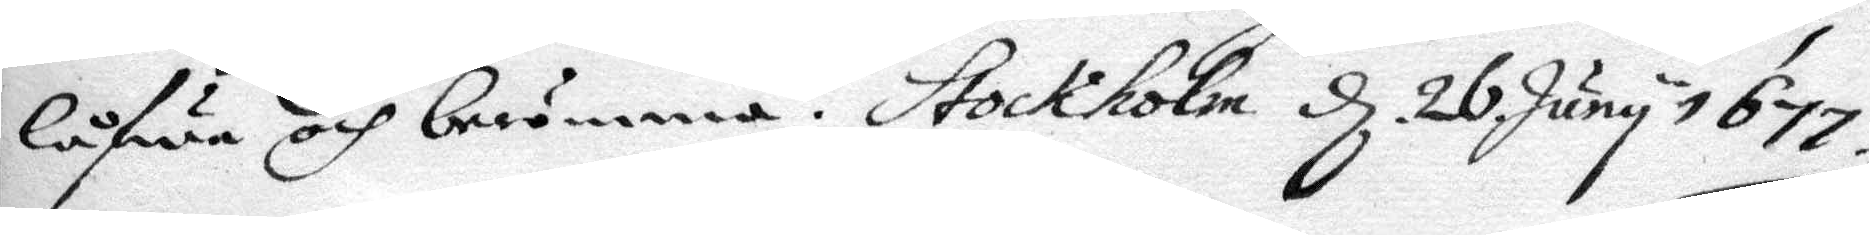låfwa och berömma. Stockholm d 26 Juny 1677.
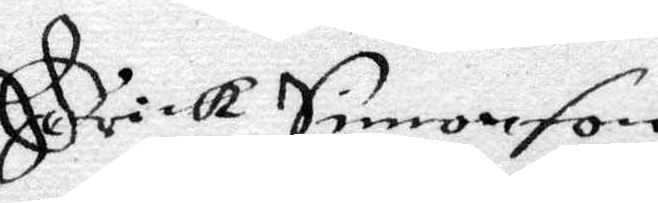Erick Simonson
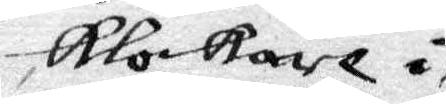klockare å
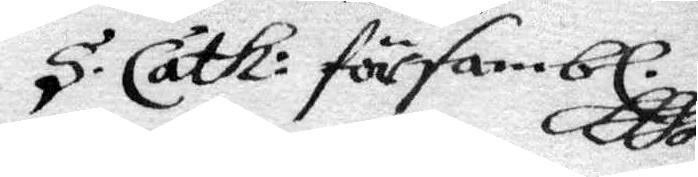S. Cath. försambl.
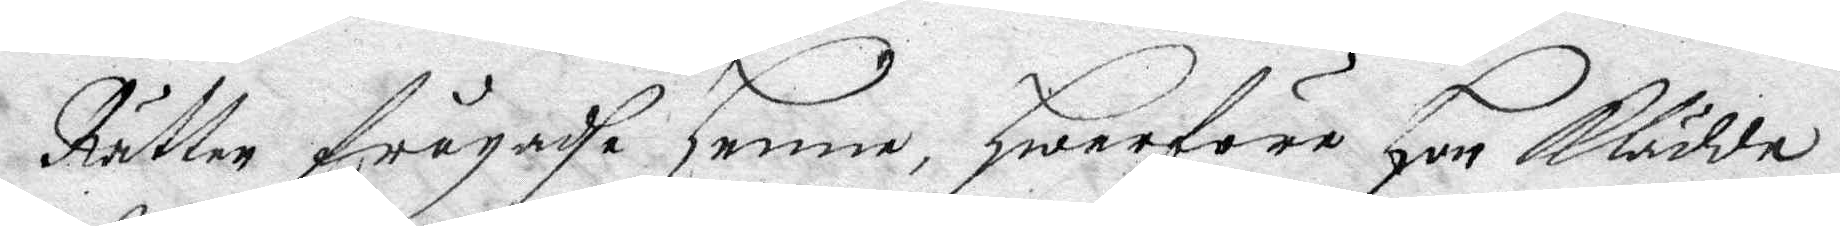Rätten frågade henne, hwarföre hon klädde
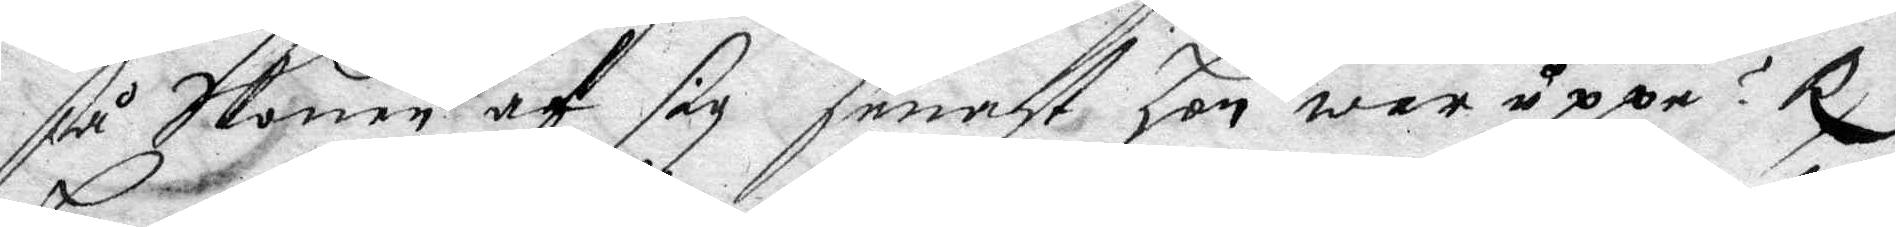så Skonen af sig senast hon war uppå? Rx
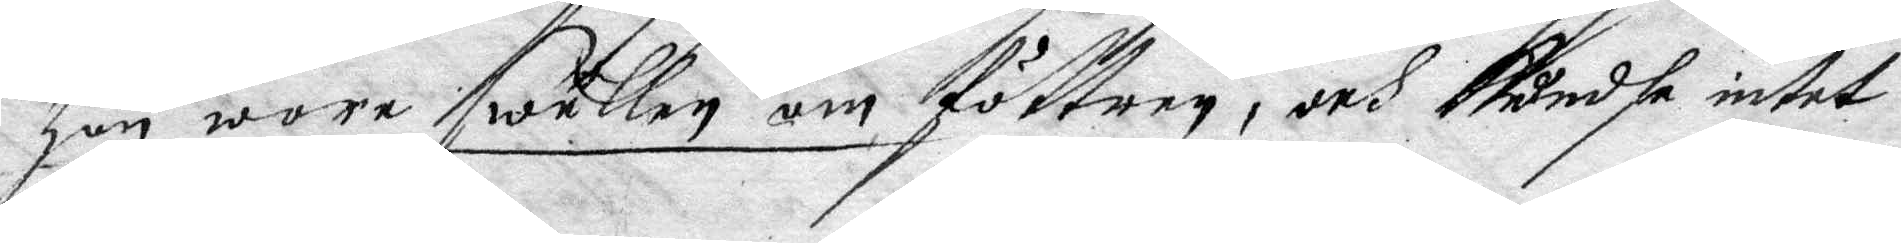hon wore swullen om föttren, och kundhe intet
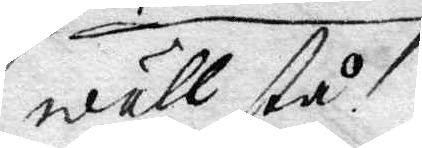wäll stå.
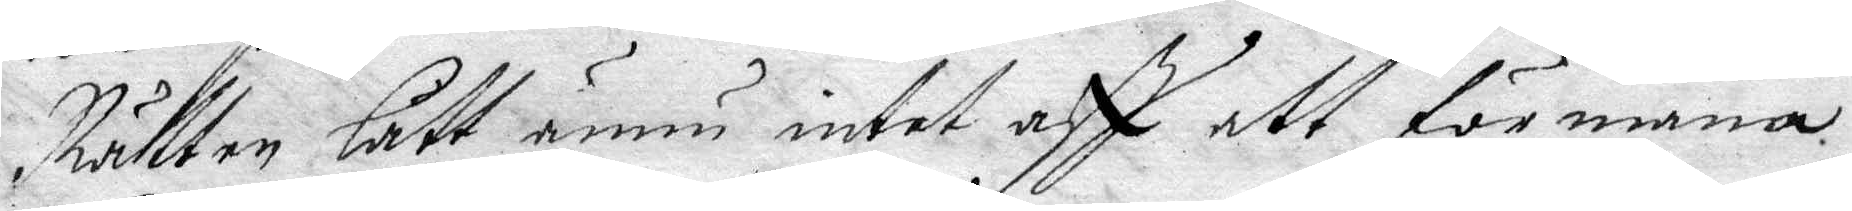Rätten lätt ännu intet aff ett förmana
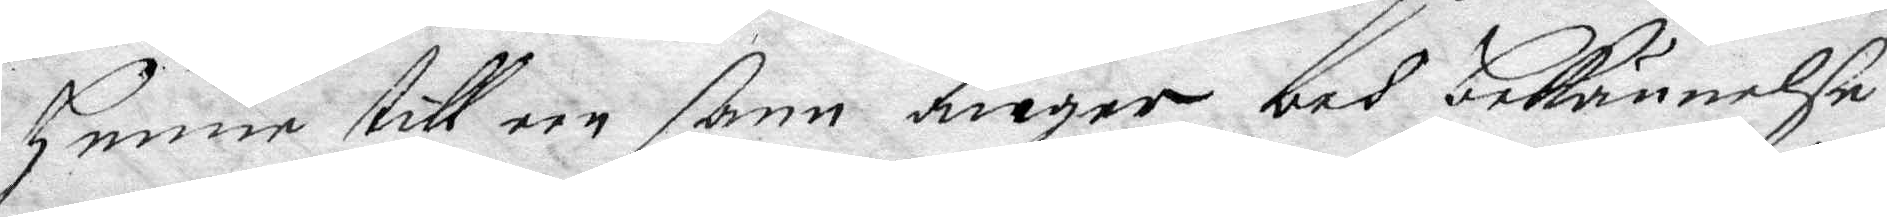henne till een sann ånger och bekännelse
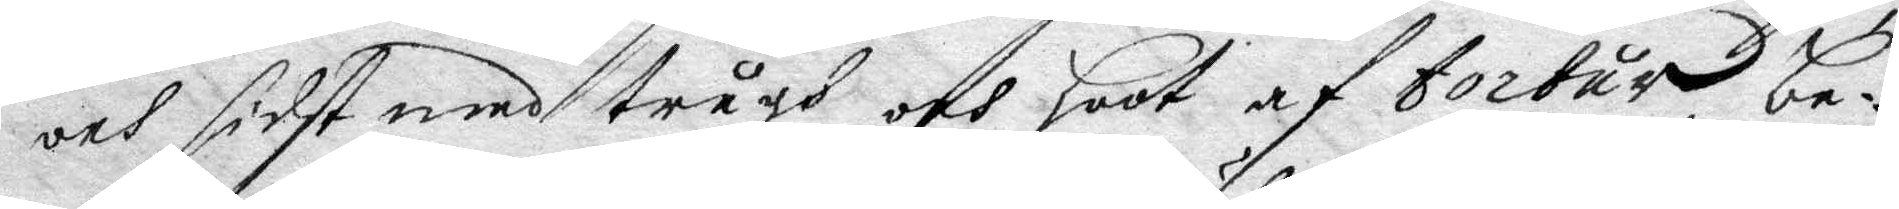och sidst men trugh och hoot af tortur, be¬
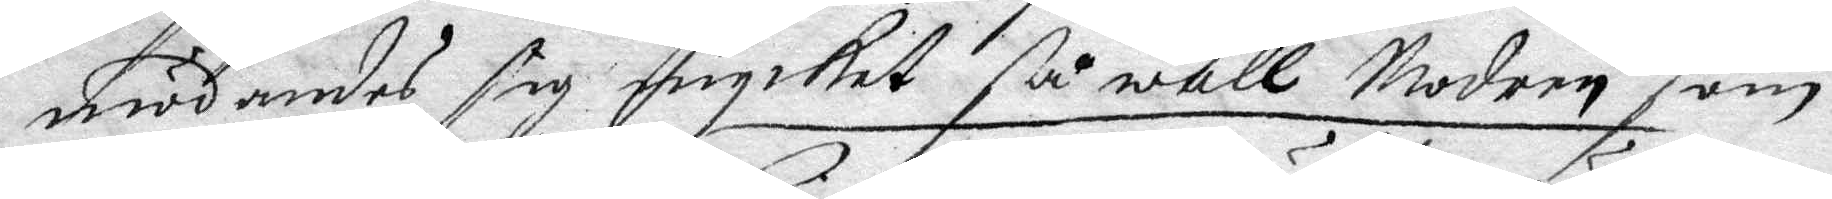mödandes sig mycket så wäll Modren som
